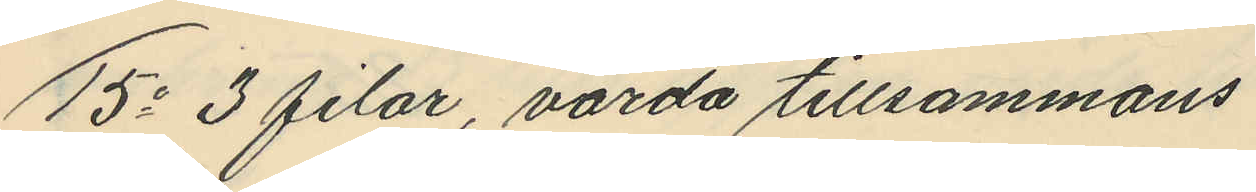15o 3 filar, värda tillsammans
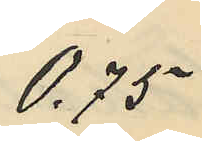0,75
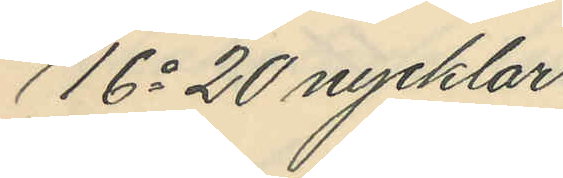16o 20 nycklar
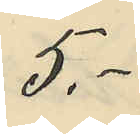5.-
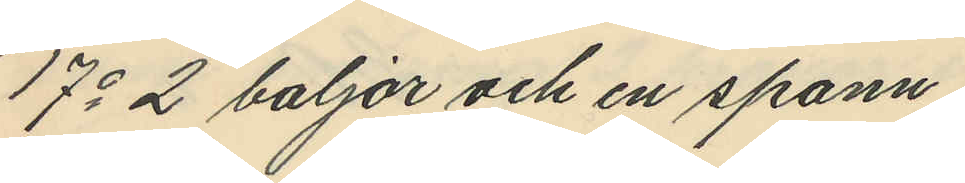17o 2 baljor och en spann
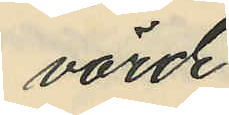värde
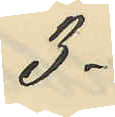3:
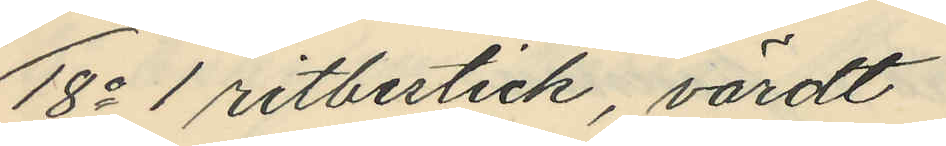18o 1 ritbestick, värdt
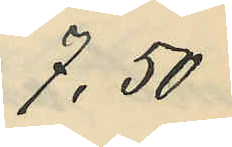7,50
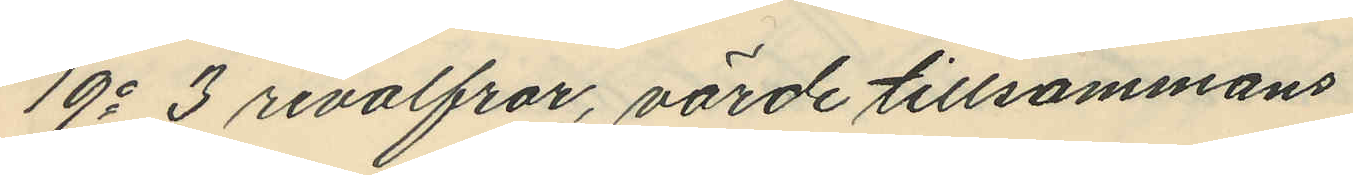19o 3 revolfrar, värde tillsammans
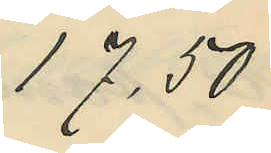17,50
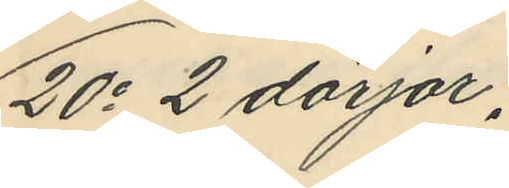20o 2 dörjar,
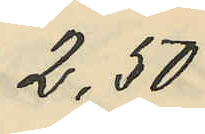2,50
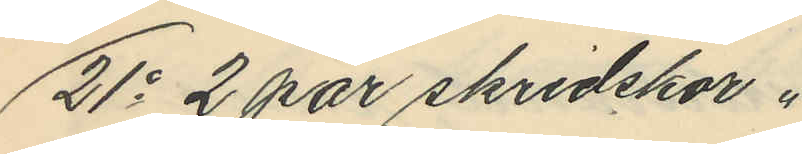21o 2 par skridskor.
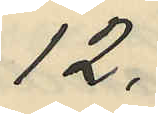12.-
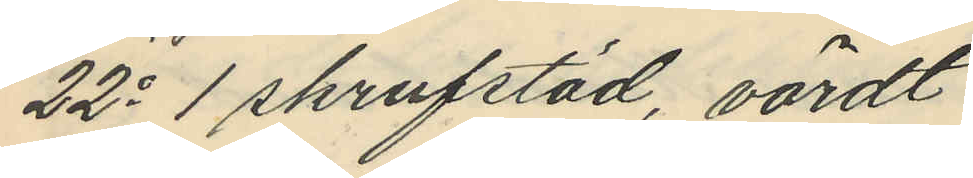22o 1 skrufstäd, värdt
